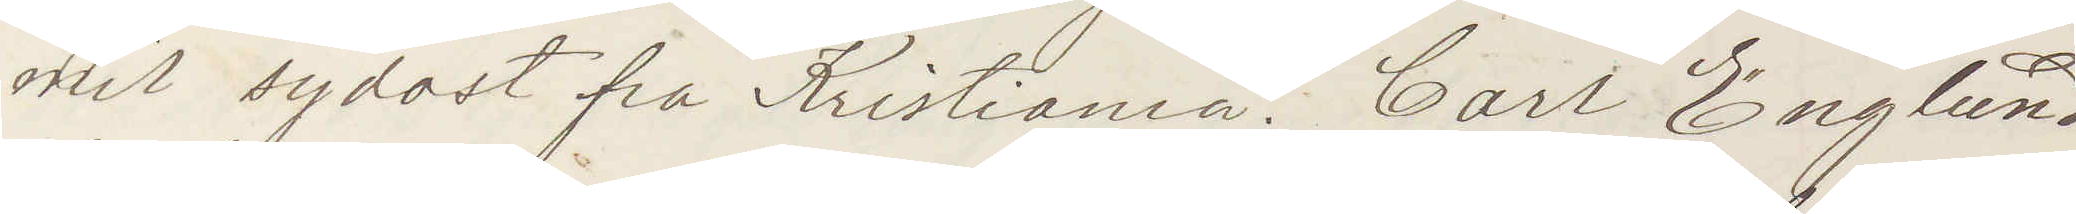mil sydost fra Kristiania. Carl Englund
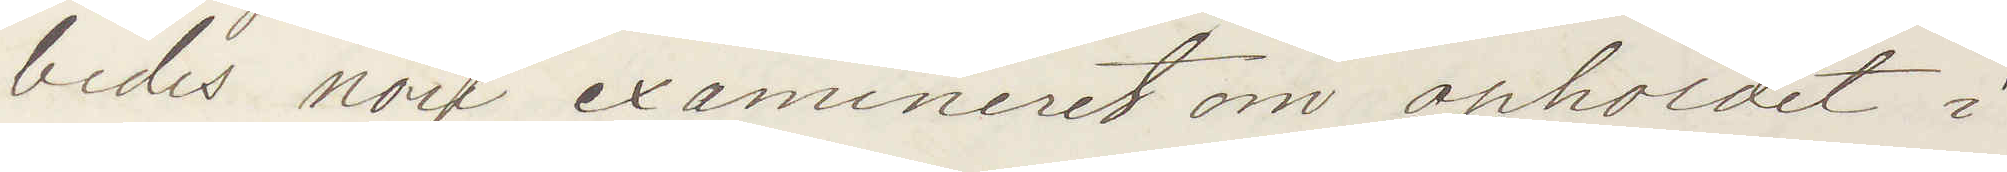bedes nået examineret om opholdet i
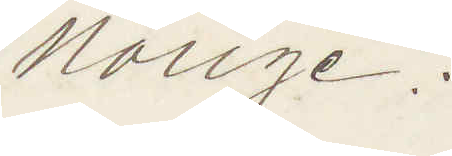Norige.
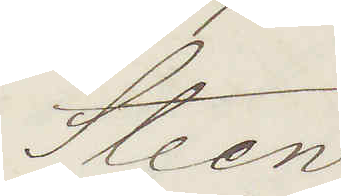Steen
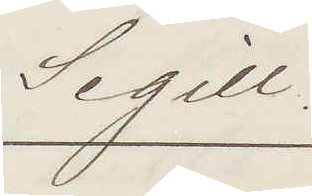Sigill
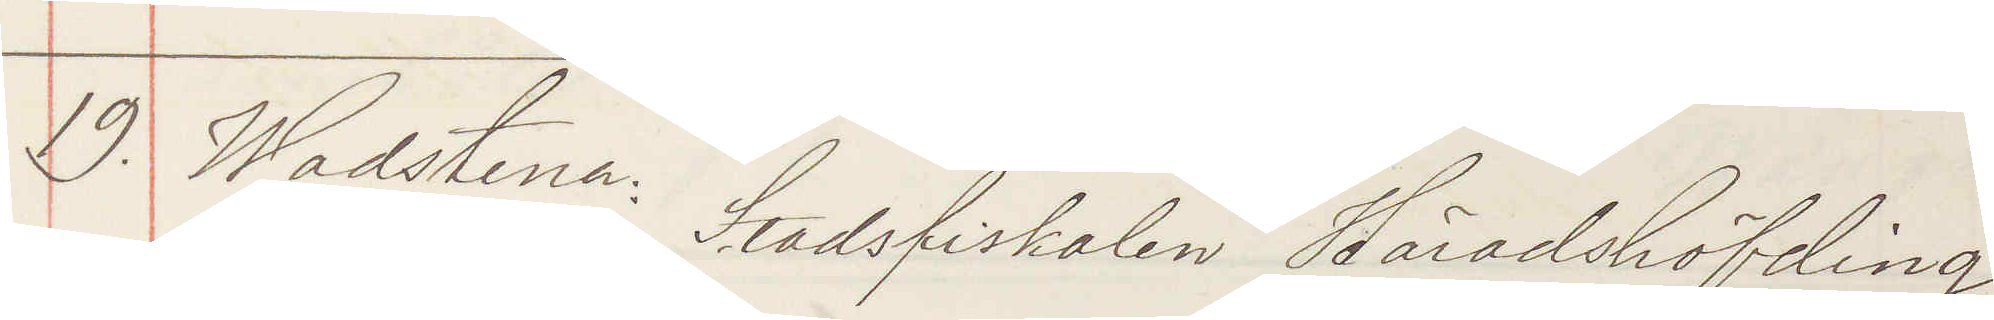19. Wadstena: Stadsfiskalen Häradshöfding
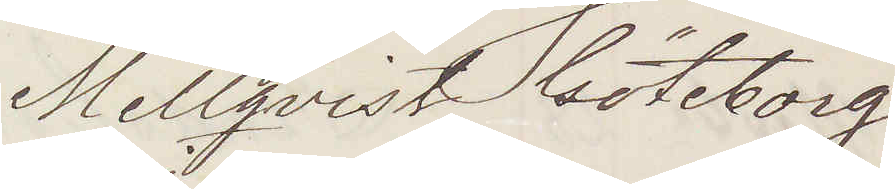Mellqvist Göteborg
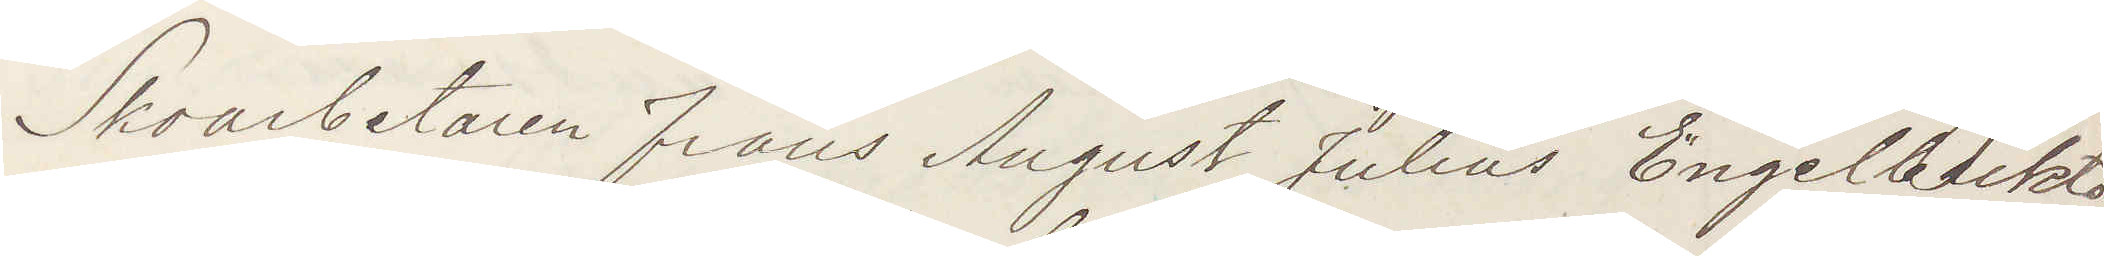Skoarbetaren Frans August Julius Engelbrekts¬
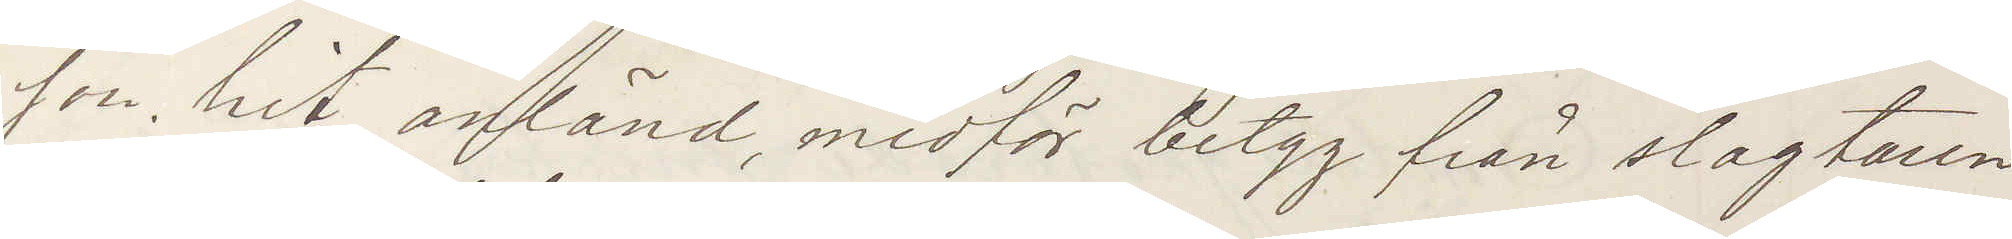son, hit anländ medför betyg från slagtaren
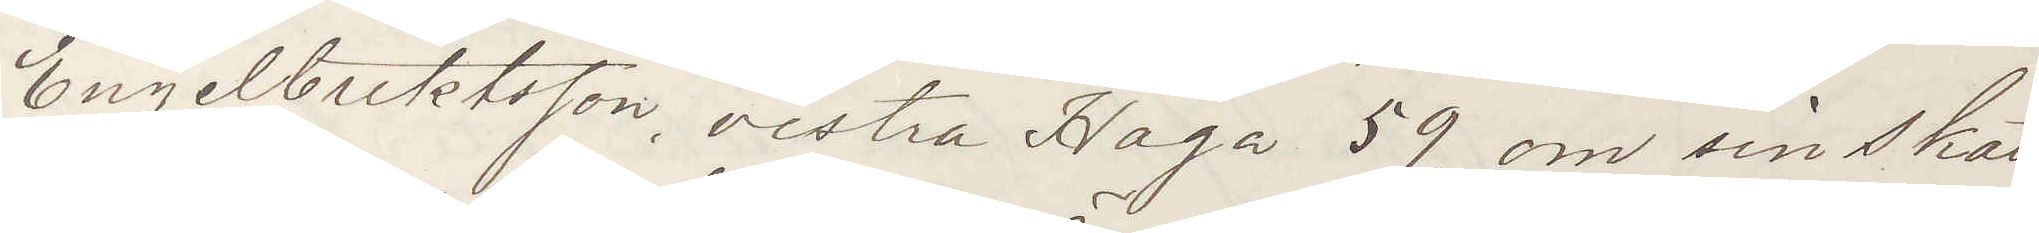Engelsbrektsson, vestra Haga 59, om sin skatt¬
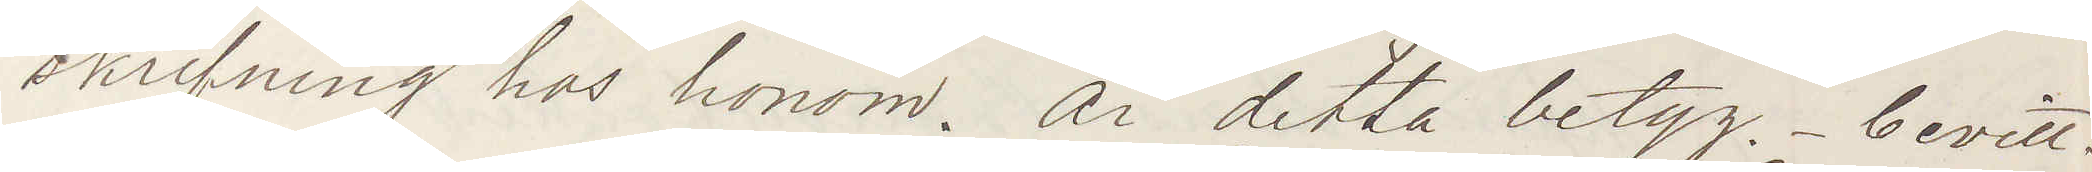skrifning hos honom. Är detta betyg - bevitt¬
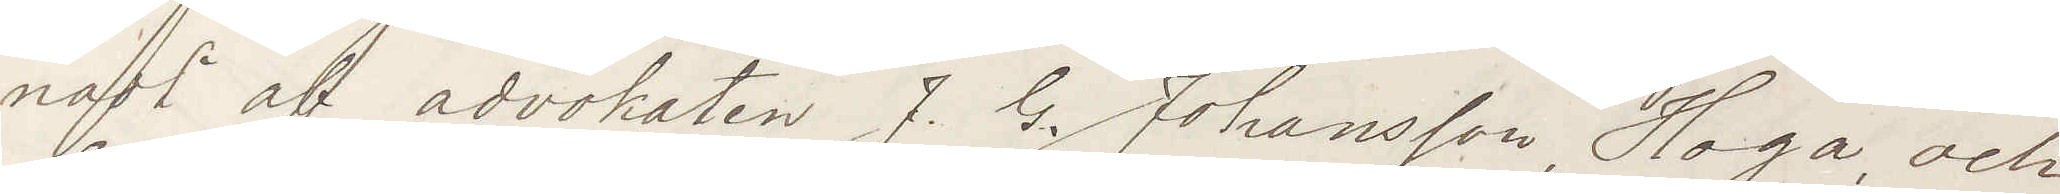nadt af advokaten J. G. Johansson Haga, och
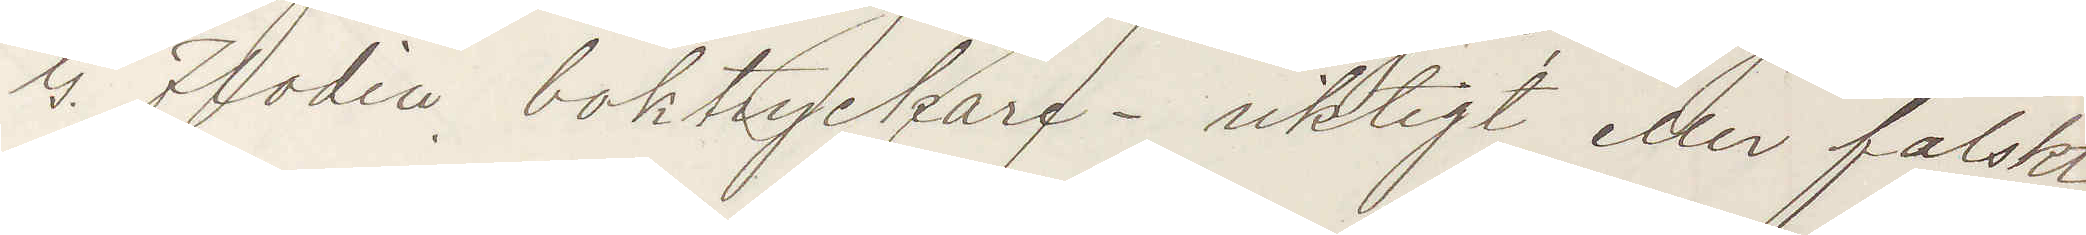G. Flodin boktryckare - riktigt eller falskt?
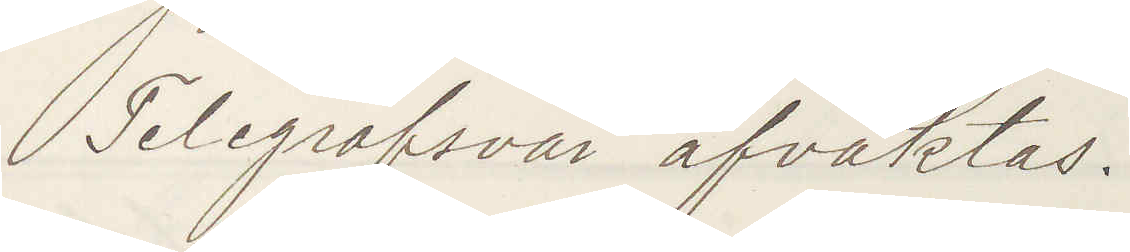Telegrafsvar afvaktas.
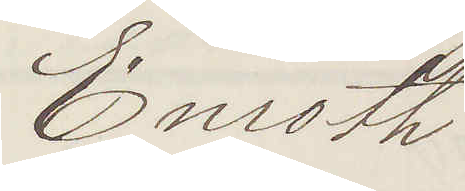Enroth
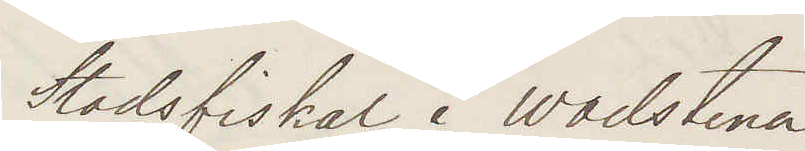Stadsfiskal i Wadstena
